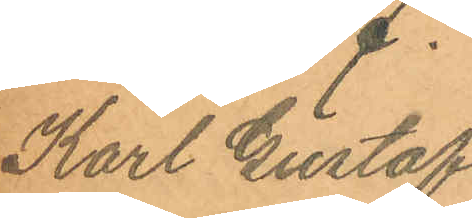Karl Gustaf
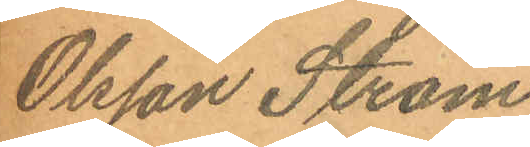Olsson Ström.
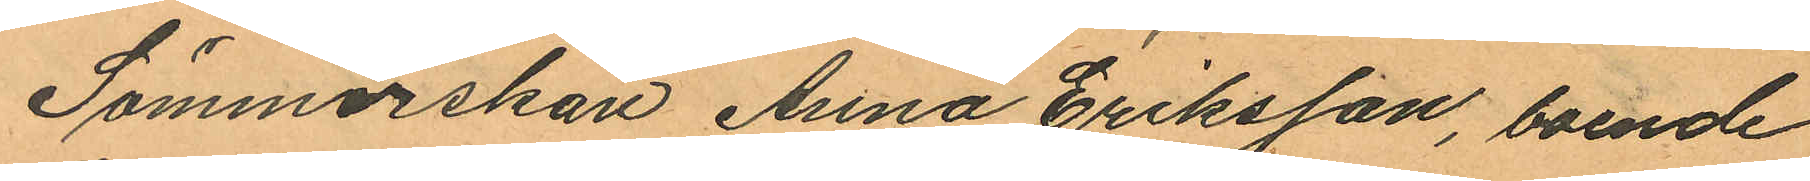Sömmerskan Anna Eriksson, boende
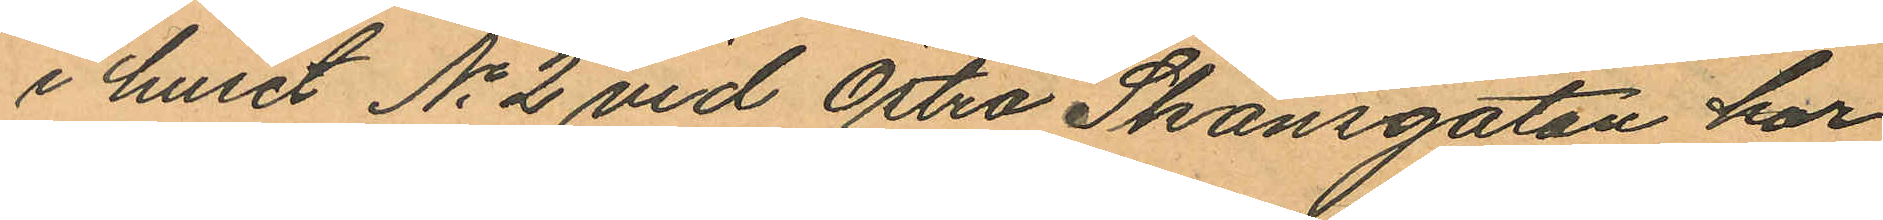i huset No 2 vid Östra Skansgatan har
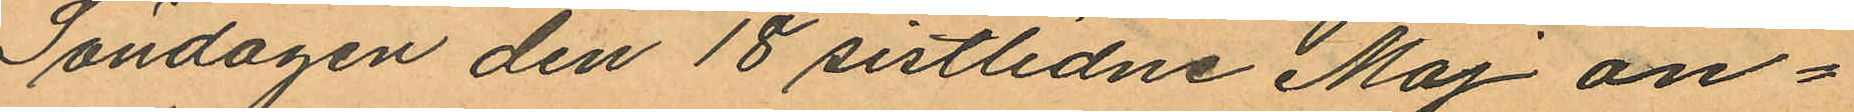Söndagen den 18 sistlidne Maj an¬
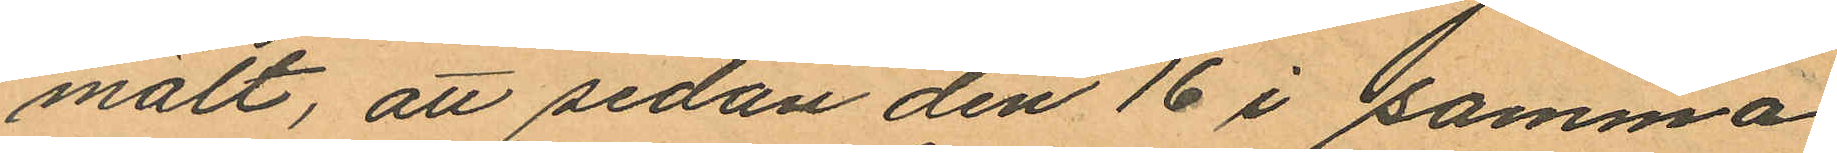mält, att sedan den 16 i samma
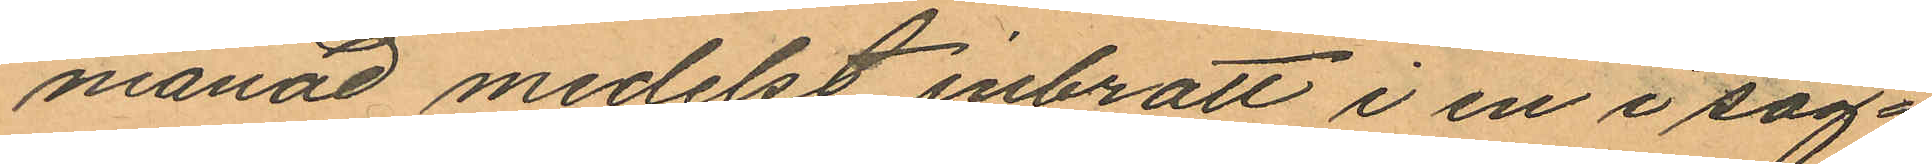månad medelst inbrott i en i sag¬
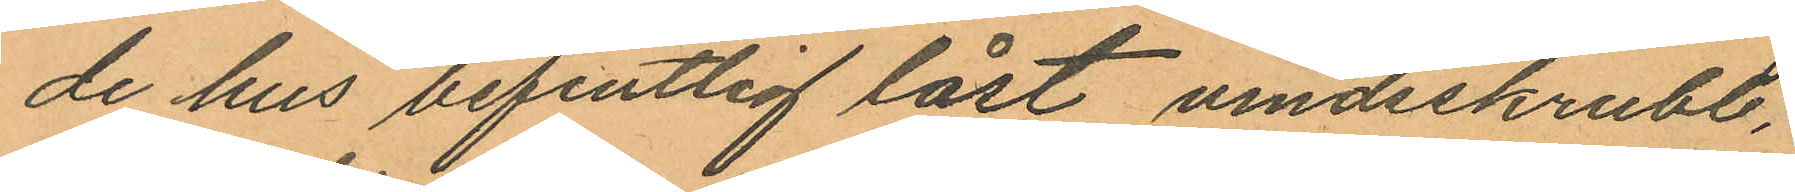de hus befintlig låst vindsskrubb,
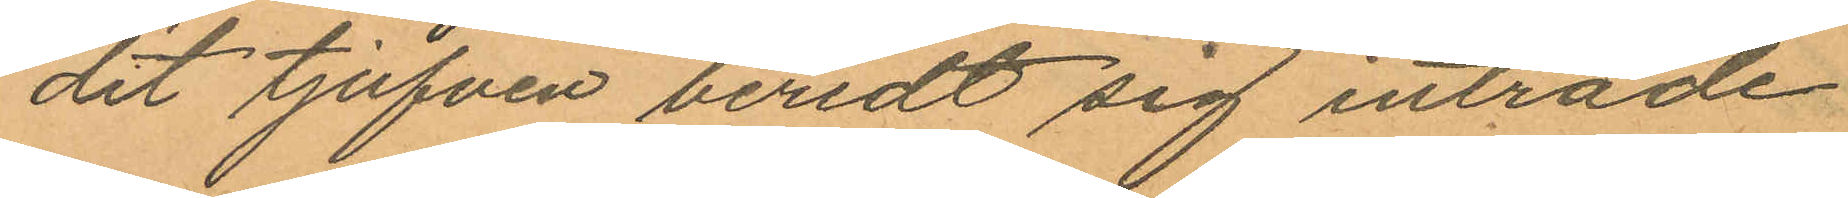dit tjufven beredt sig inträde
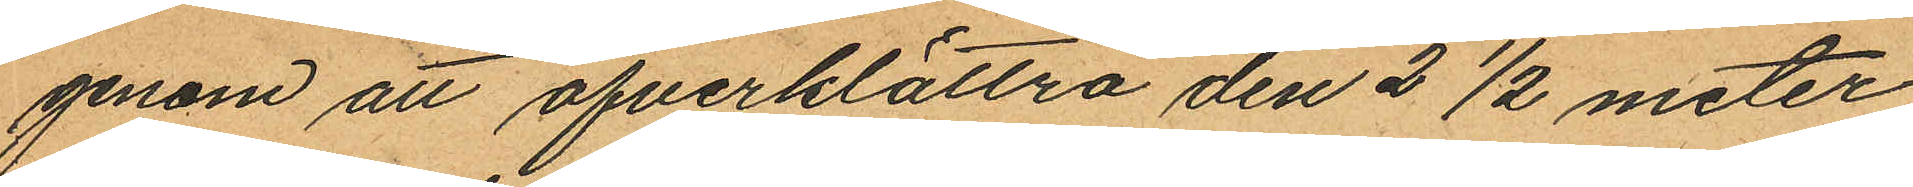genom att öfverklättra den 2½ meter
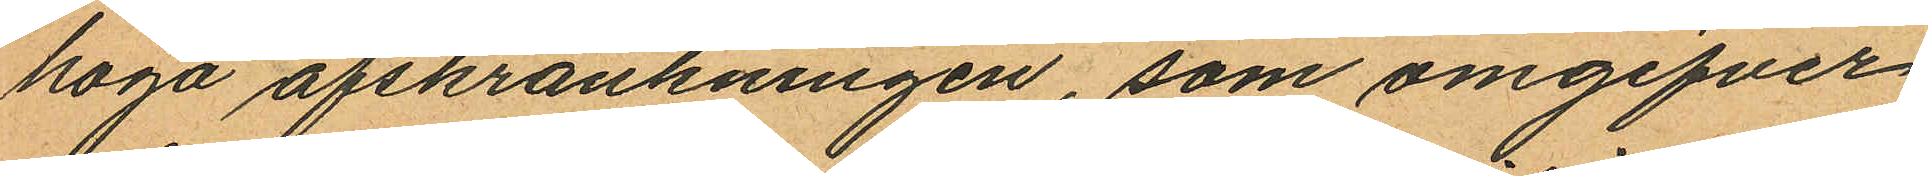höga afskrankningen, som omgifver
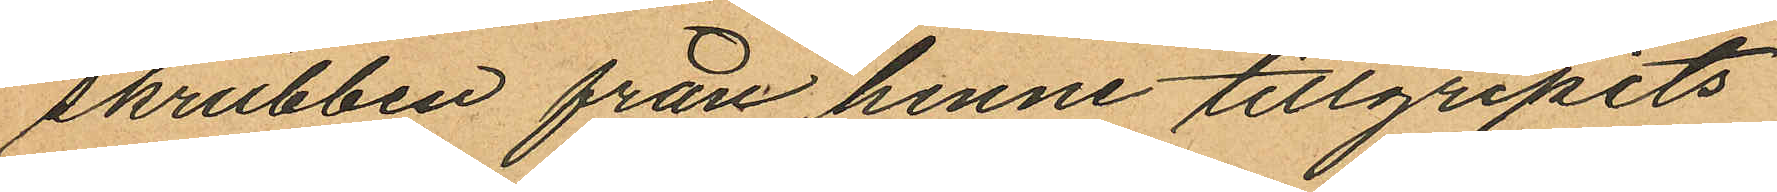skrubben från henne tillgripits
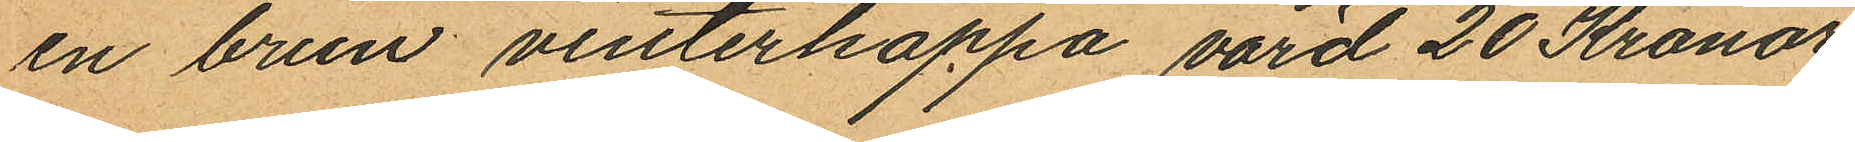en brun vinterkappa värd 20 Kronor
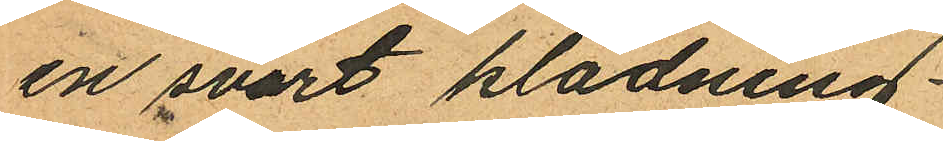en svart klädning
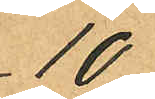10
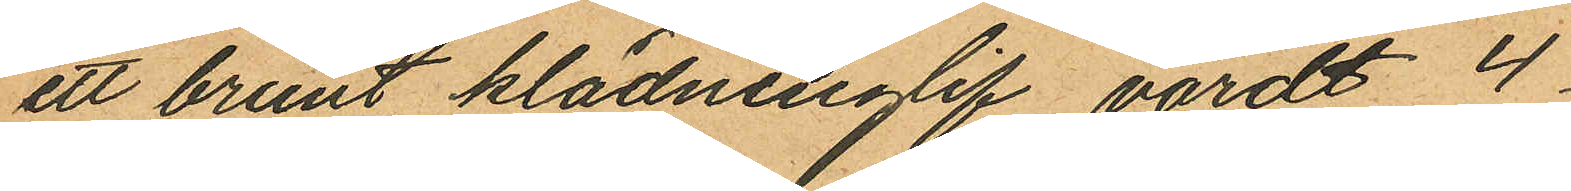ett brunt klädninglif värdt 4
